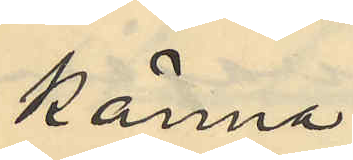känna
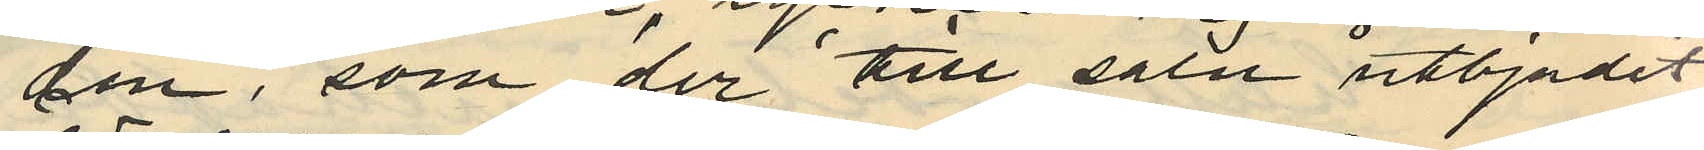den, som der till salu utbjudit
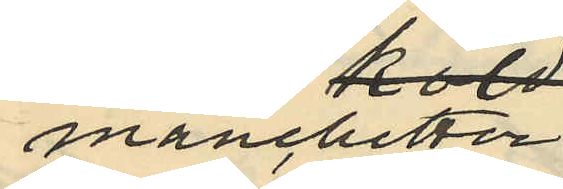manschetter
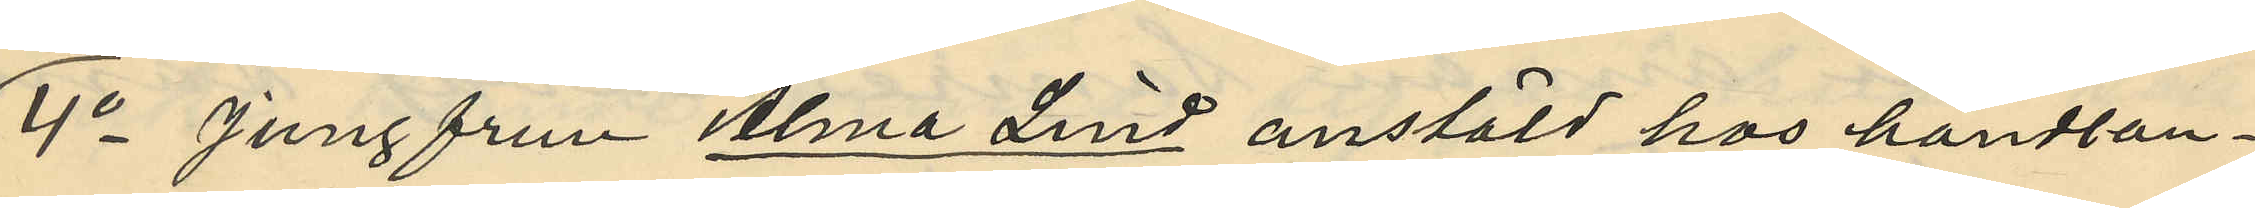4o Jungfrun Alma Lind anstäld hos handlan¬
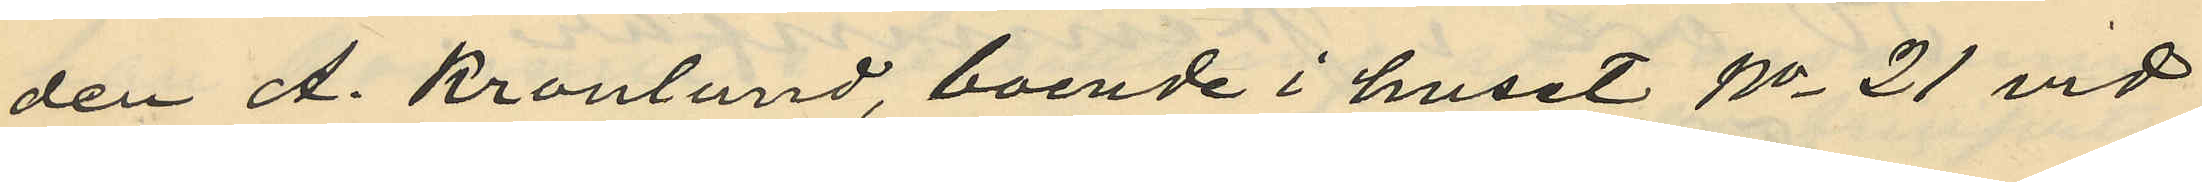den A. Kronlund, boende i huset No 21 vid
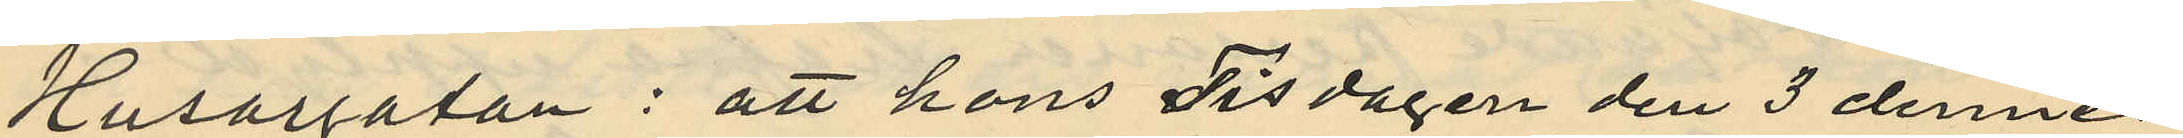Husargatan: att hons Tisdagen den 3 dennes
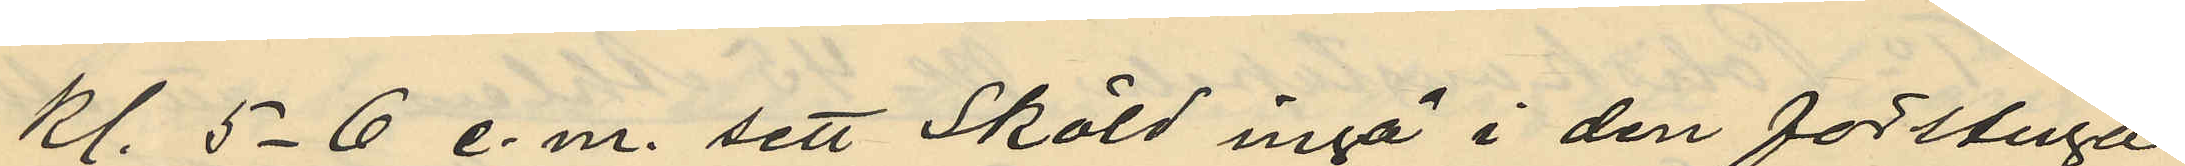kl. 5-6 e.m. sett Sköld ingå i den förstuga
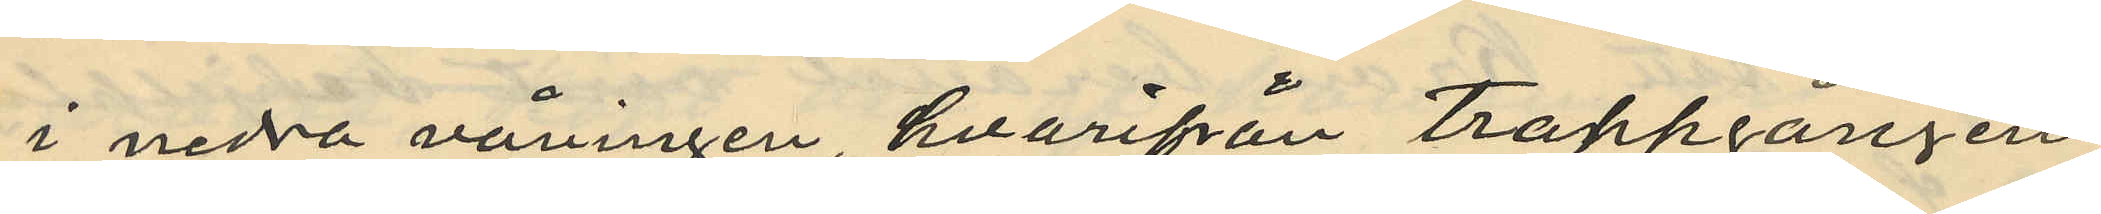i nedra våningen, hvarifrån trappgången
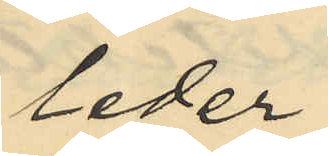leder
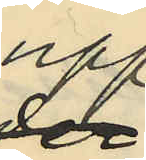upp
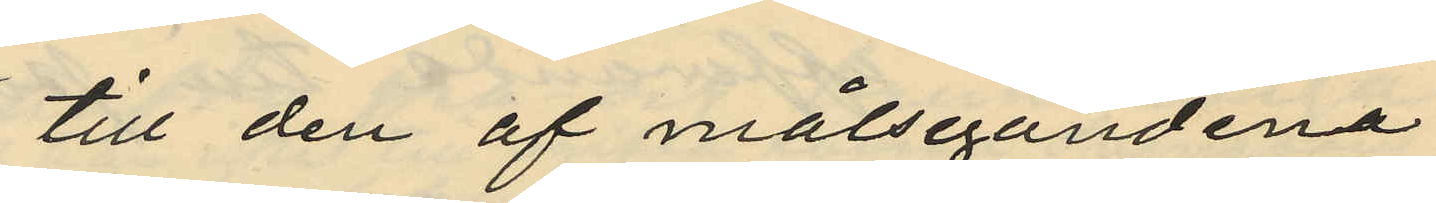till den af målsegandena
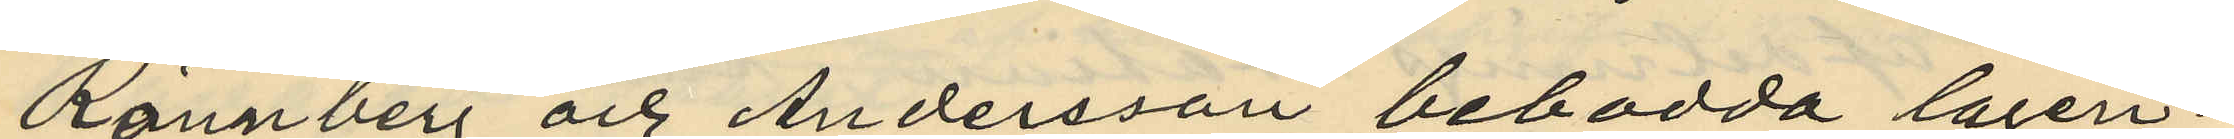Rönnberg och Andersson bebodda lägen¬
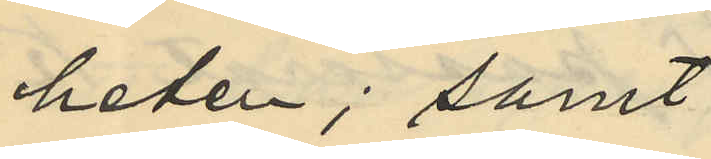heter; samt
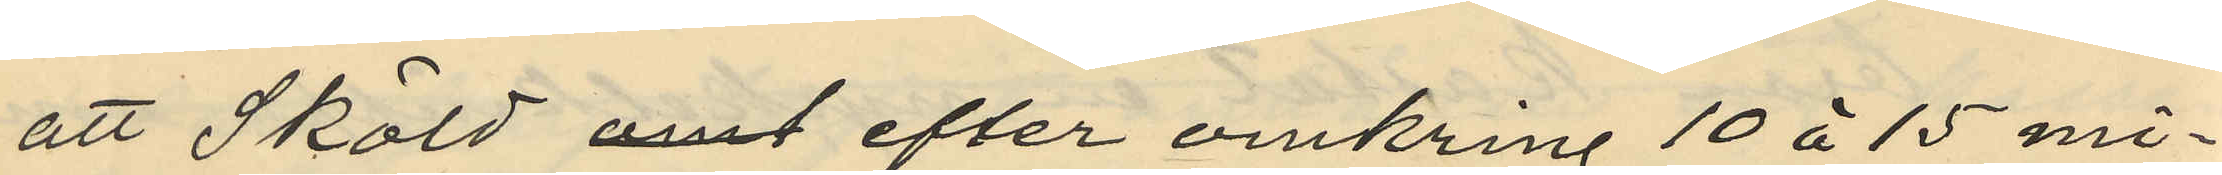att Sköld visst efter omkring 10 à 15 mi¬
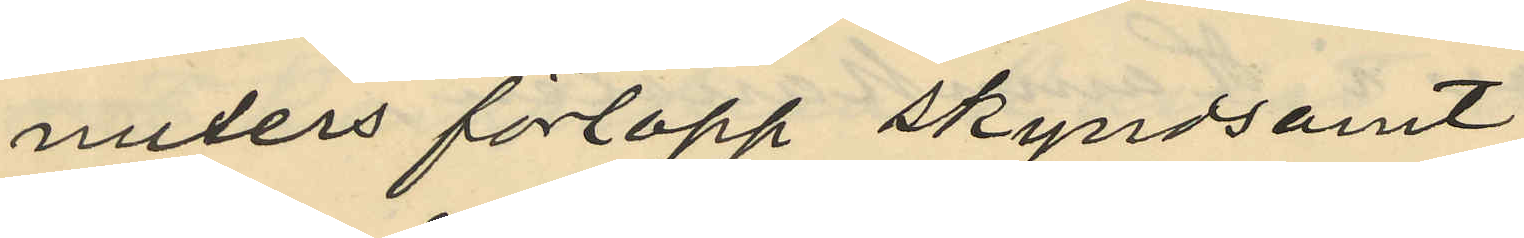nuters förlopp skyndsamt
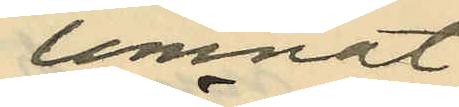lemnat
